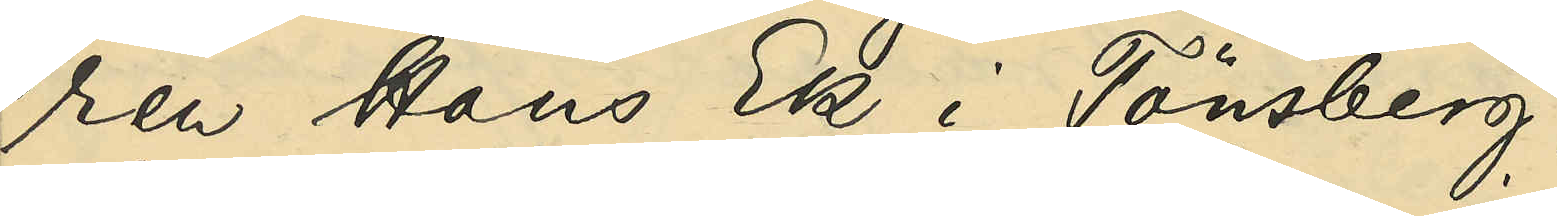ren Hans Ek i Tönsberg;
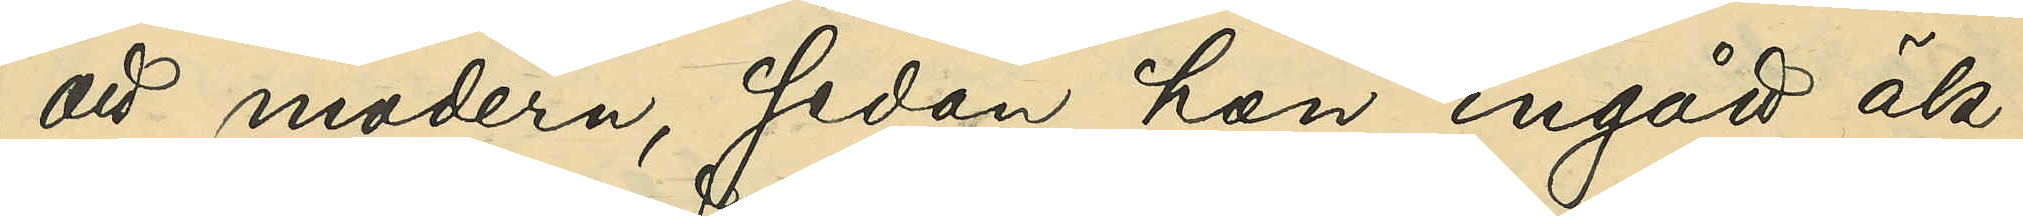att modern sedan hon ingått äk¬
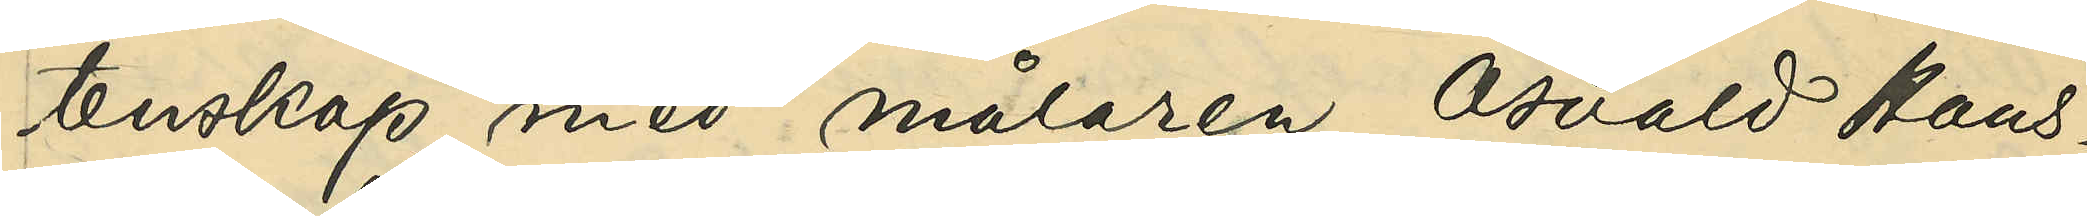tenskap med målaren Osvald Hans¬
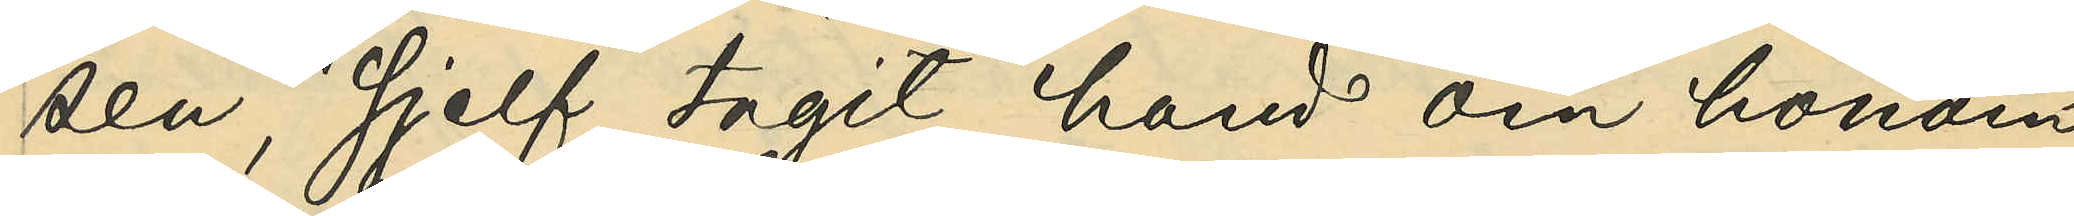sen, sjelf tagit hand om honom
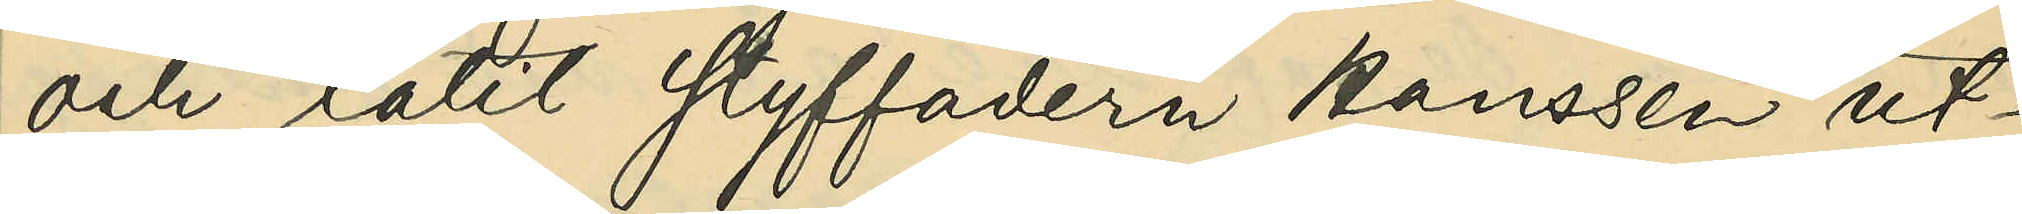och låtit styffadern Hanssen ut¬
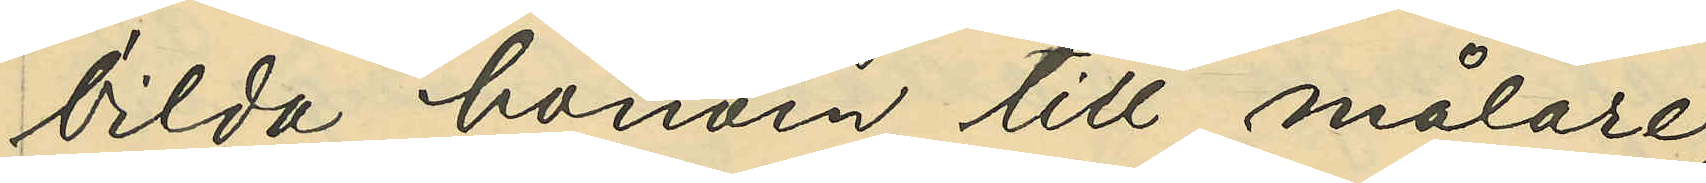bilda honom till målare;
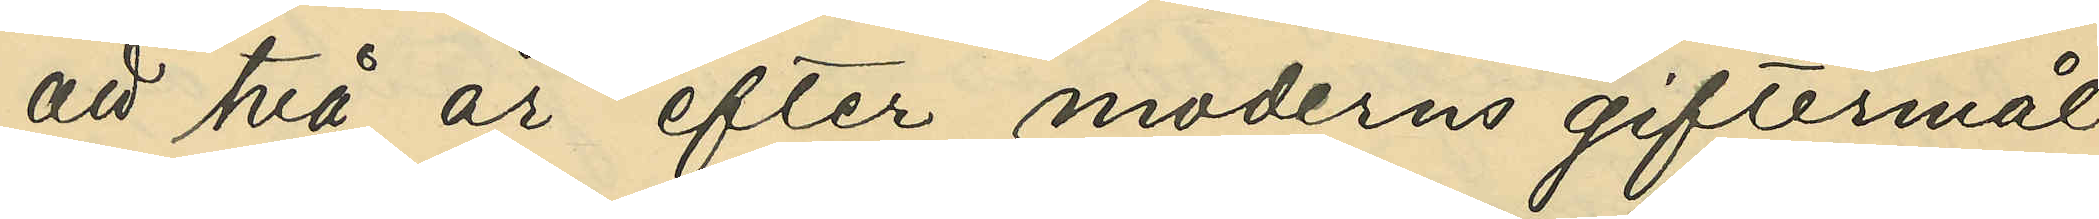att två år efter moderns giftermål
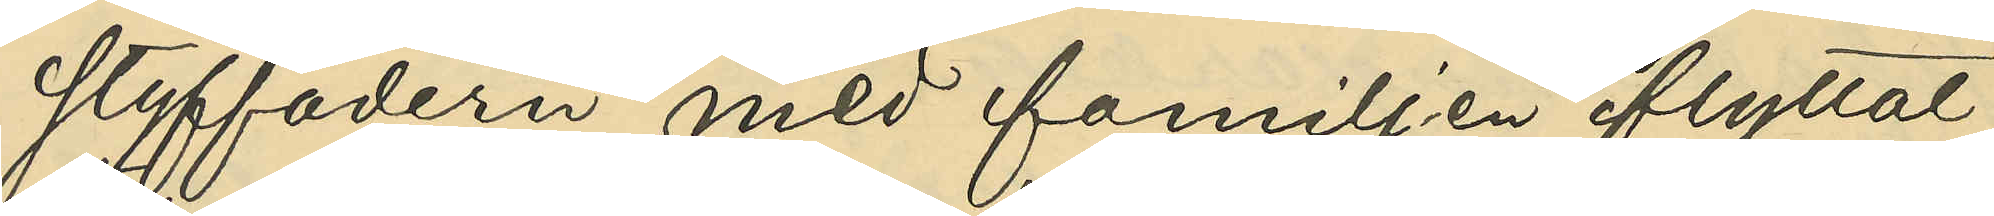styffadern med familjen flyttat
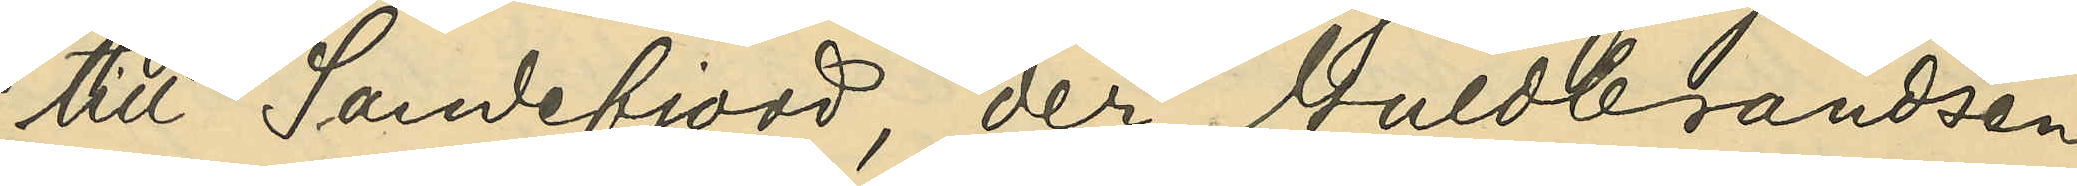till Sandefjord, der Guldbrandsen
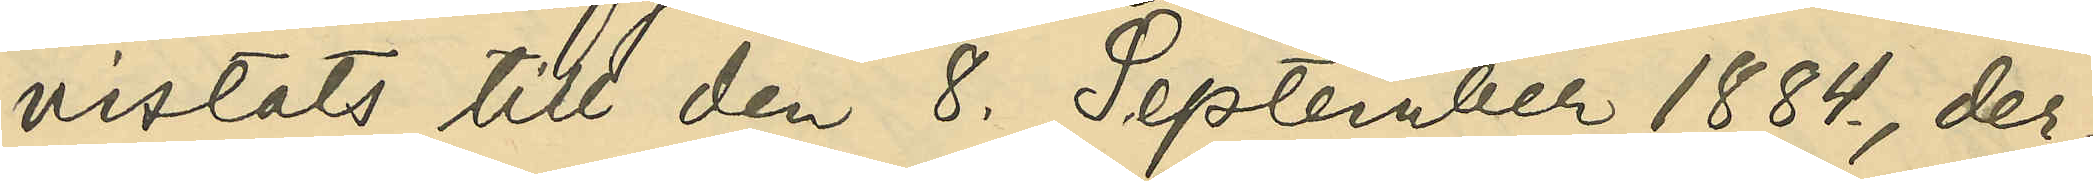vistats till den 8. September 1884., der¬
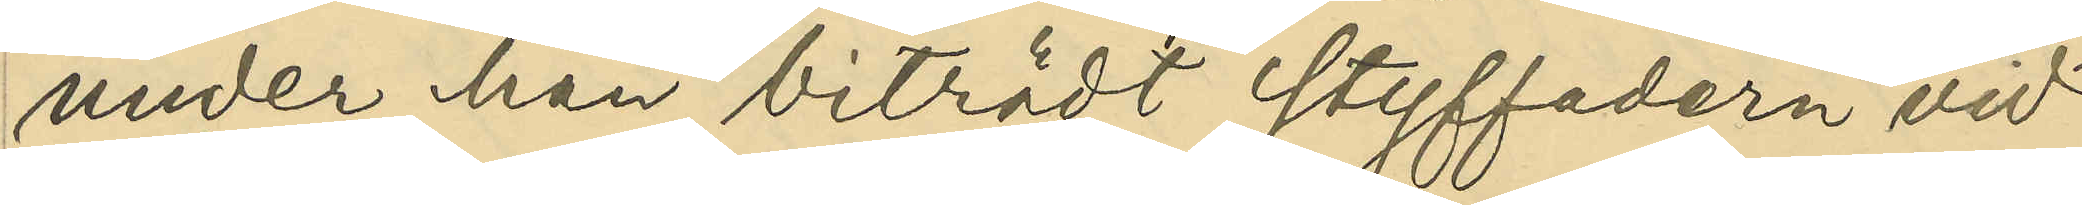under han biträdt styffadern vid
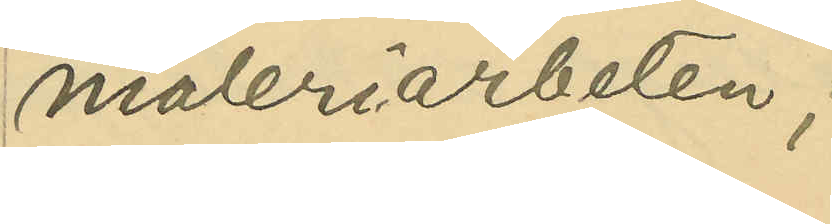måleriarbeten;
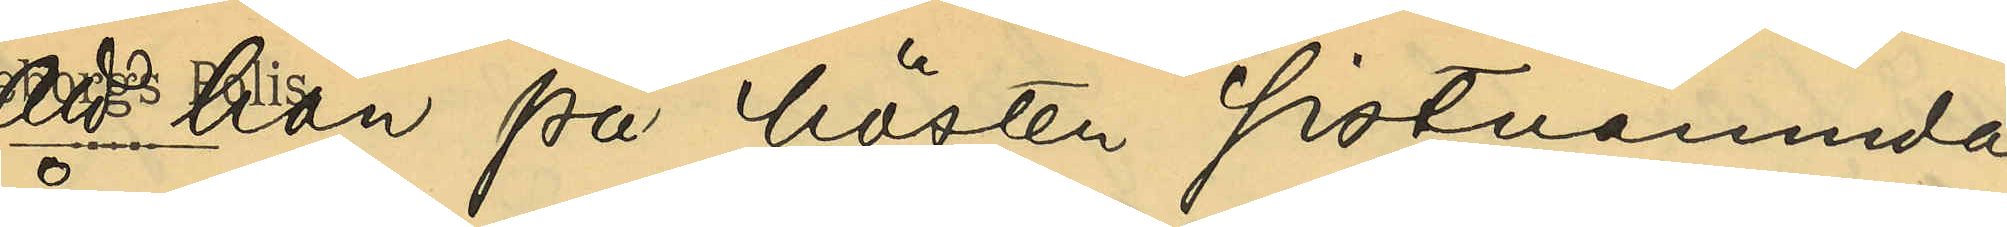att han på hösten förutnämnda
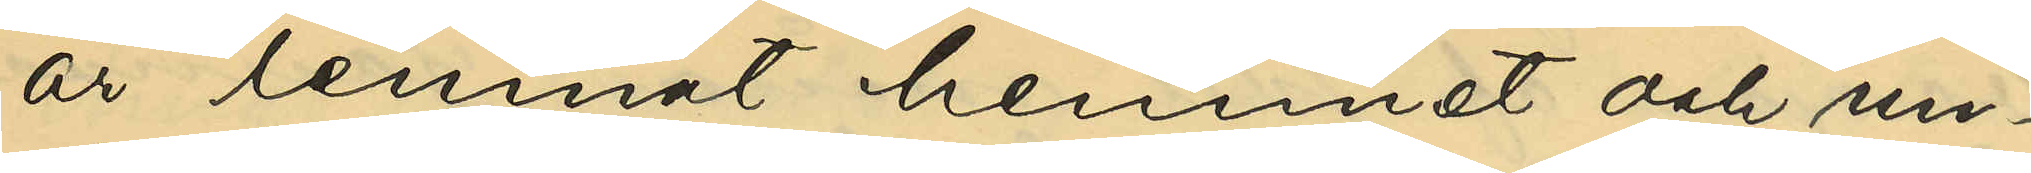år lemnat hemmet och un¬
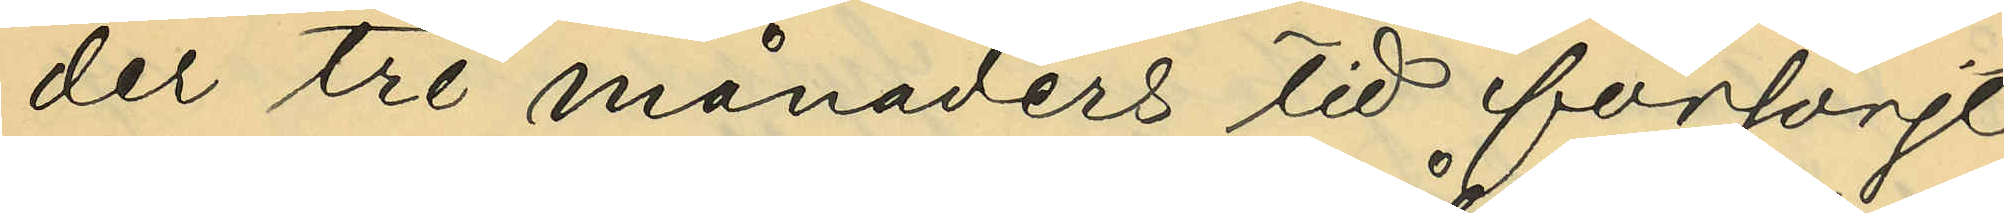der tre månaders tid försörjt
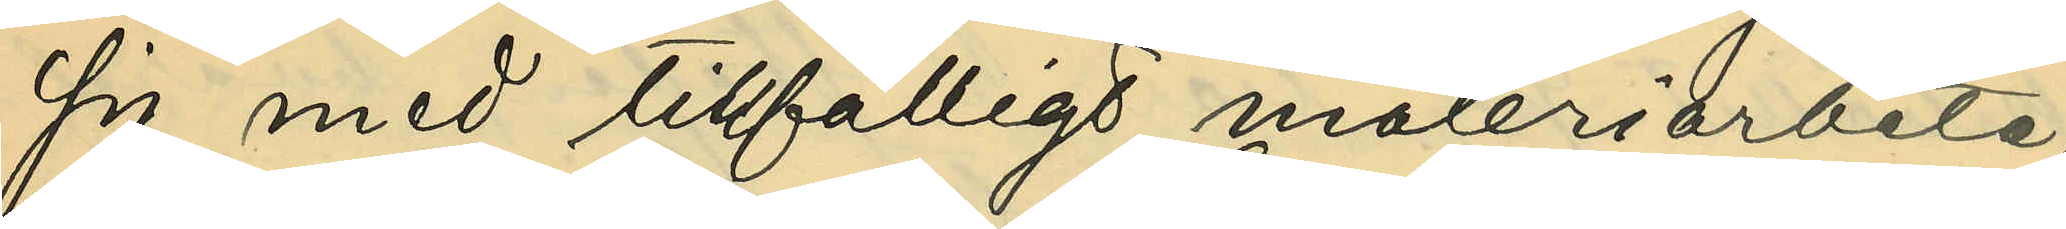sig med tillfälligt måleriarbete,
